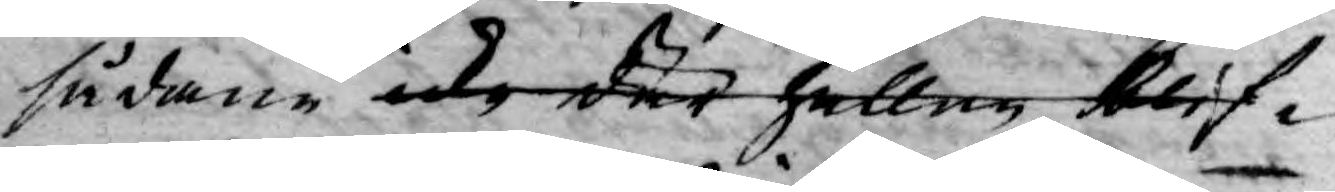sådane icke där heller blif¬
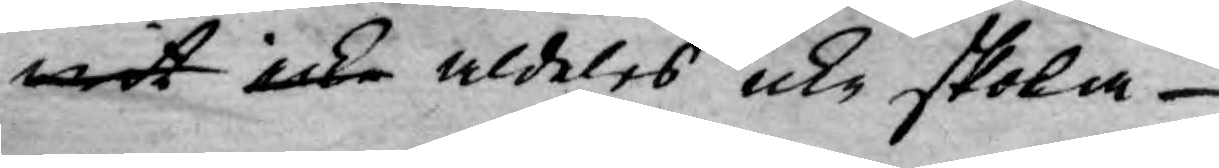wit icke aldeles icke skola
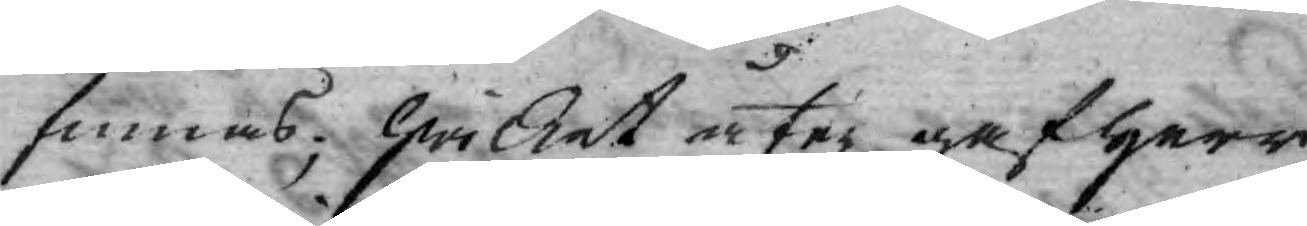finnas; hwilket åter gaf Herr
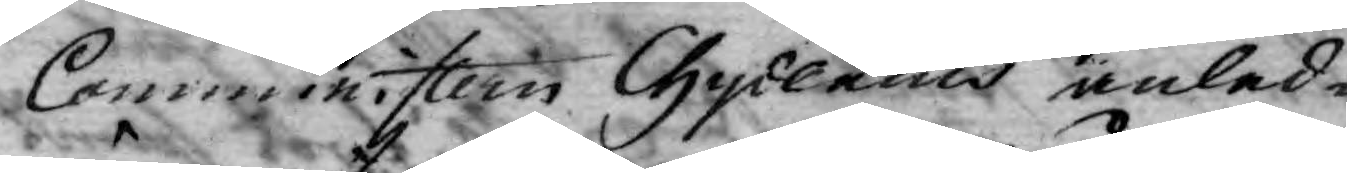Comministern Chydenius anled¬
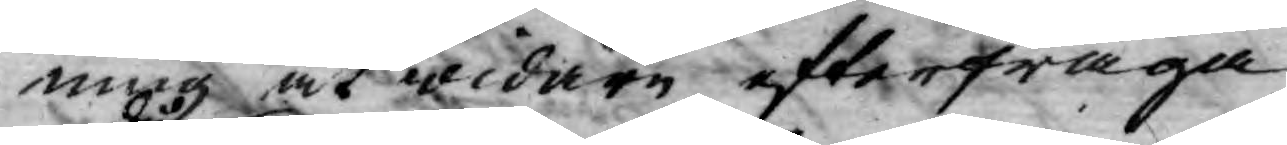ming at widare efterfråga
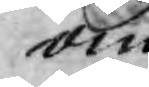om
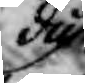då
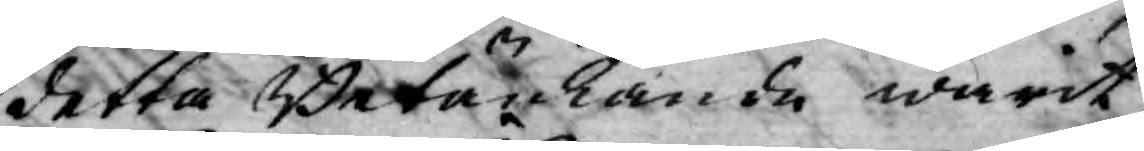detta Betänkande warit
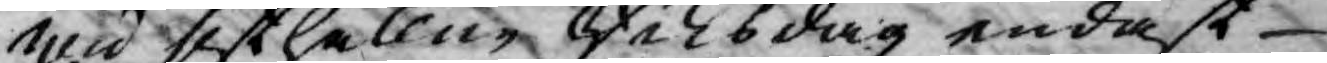wid sisthållne Riksdag endast
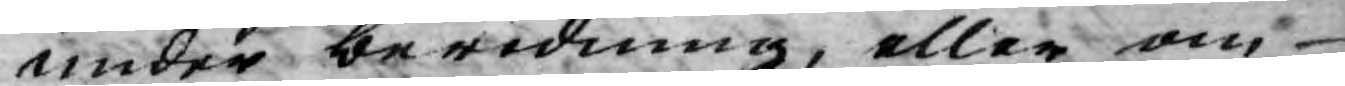under beredning, eller om
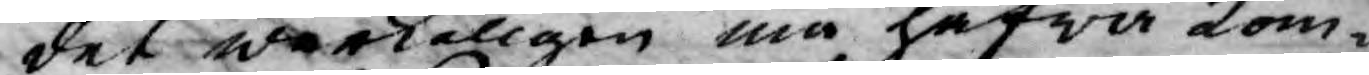det werkeligen må hafwa kom¬
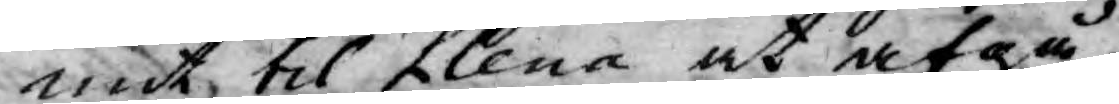mit til Plena at afgå? til
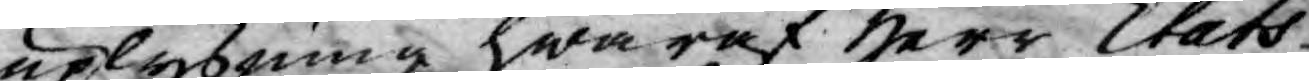uplysning hwaraf Herr Stats¬
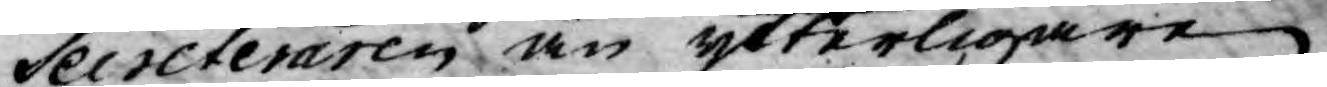Secreteraren än ytterligare
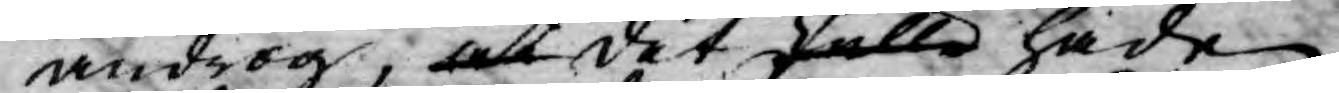androg, at det skulle hade
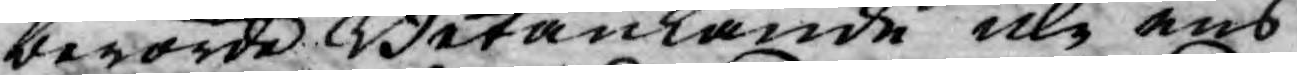berörde Betänkande icke ens
